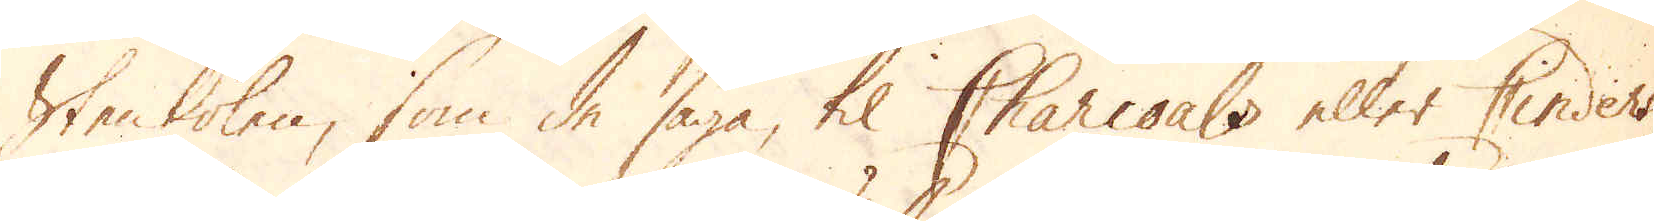Stenkolen, som de säga, til Charcoals eller Cinders,
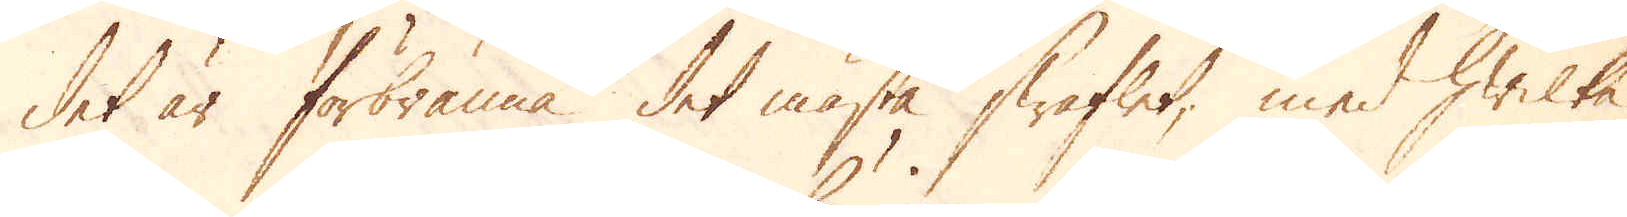det är förbränna det mästa Swaflet, med hwilka
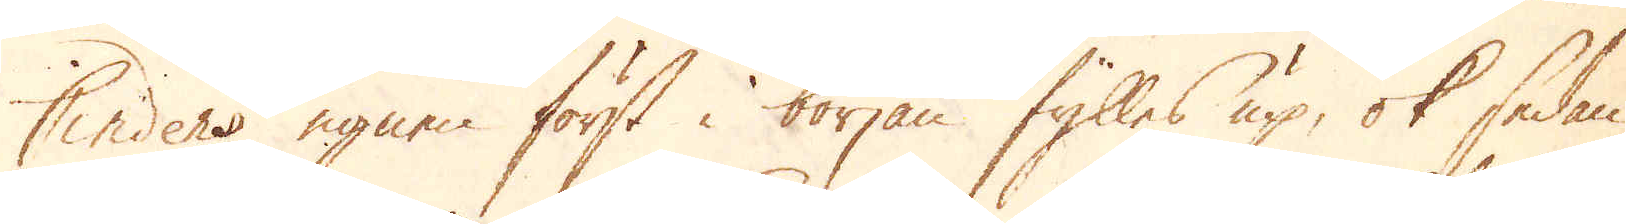Cinders ugnen först i början fylles up, ok sedan
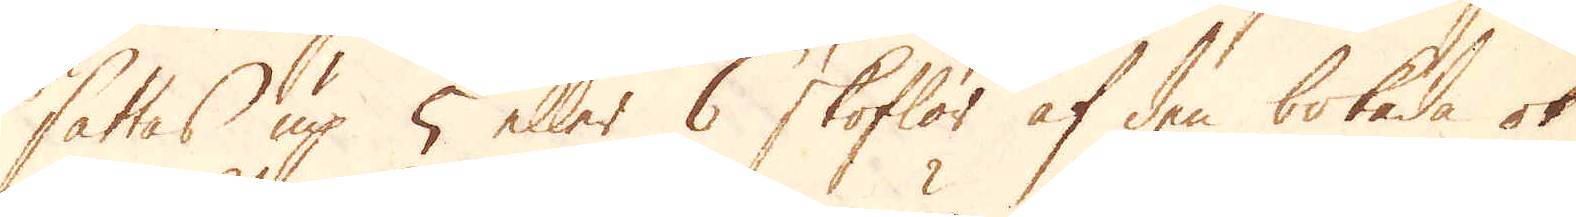sättas up 5 eller 6 skoflor af den bokade ok
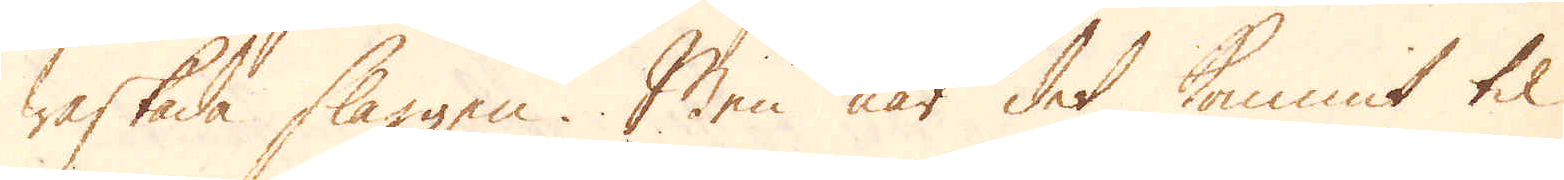waskade slaggen. Men när det kommit til
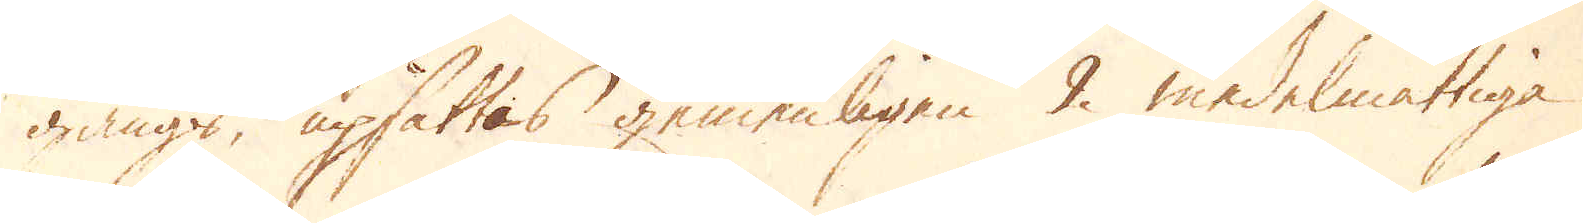gånges, upsättas gemenligen 2. medelmåttiga
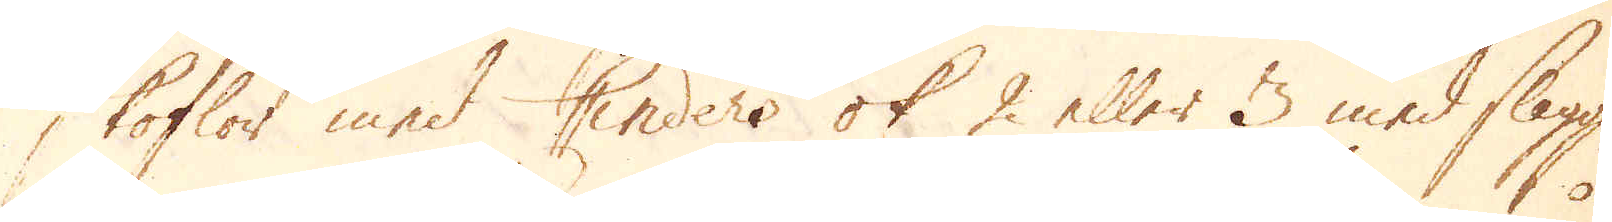Skoflor med Cinders ok 2 eller 3 med slagg,
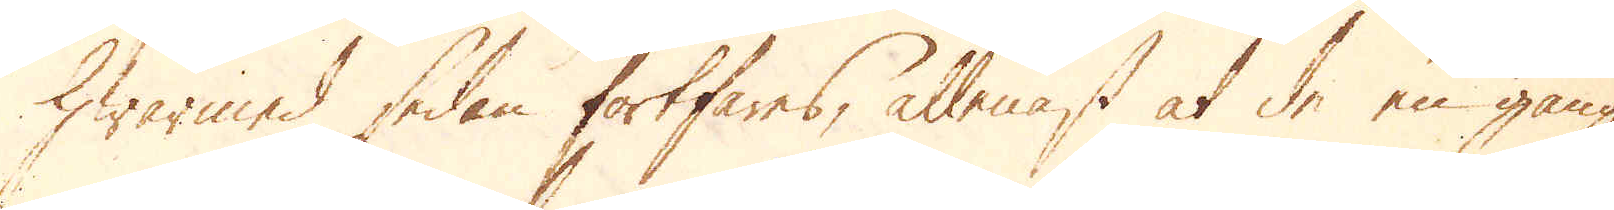Hwarmed sedan fortfares, allenast at de en gång
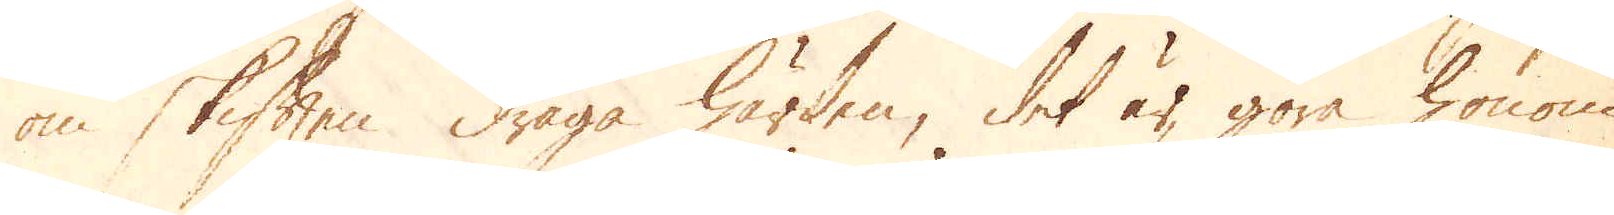om skiften draga härden, det är göra honom
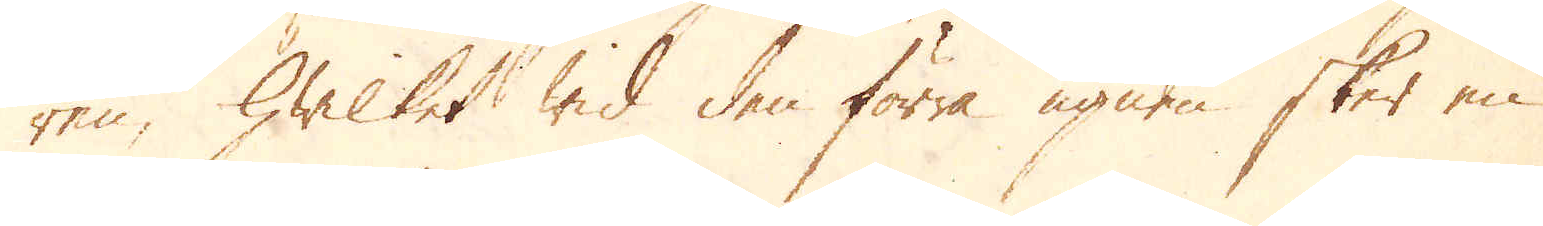ren, hwilket wid den förra ugnen sker en
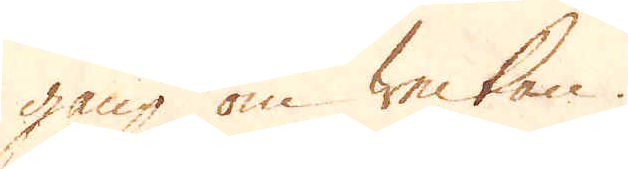gång om weckan.
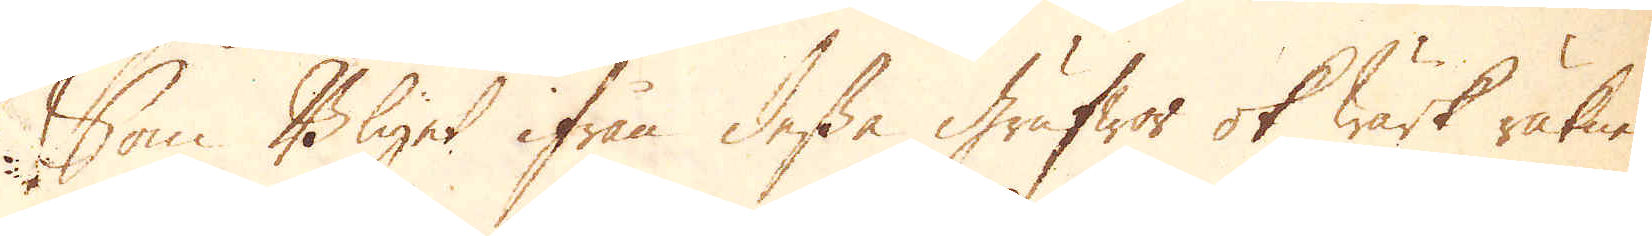Som Blyet ifrån dessa grufwor ok wärk räknes
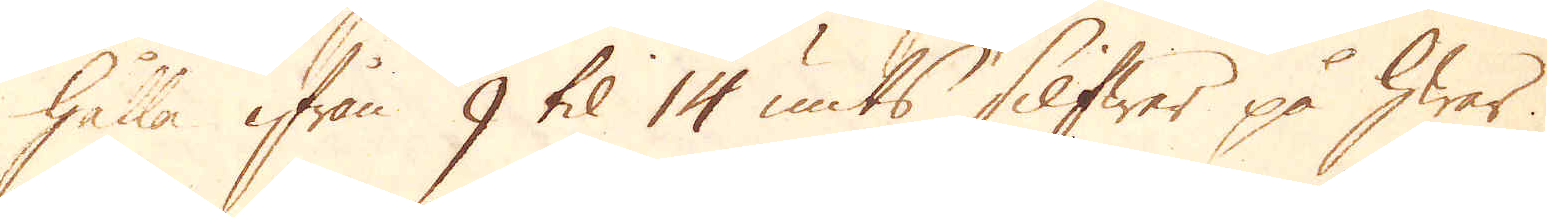hålla ifrån 9 til 14 umts Silfwer på hwar
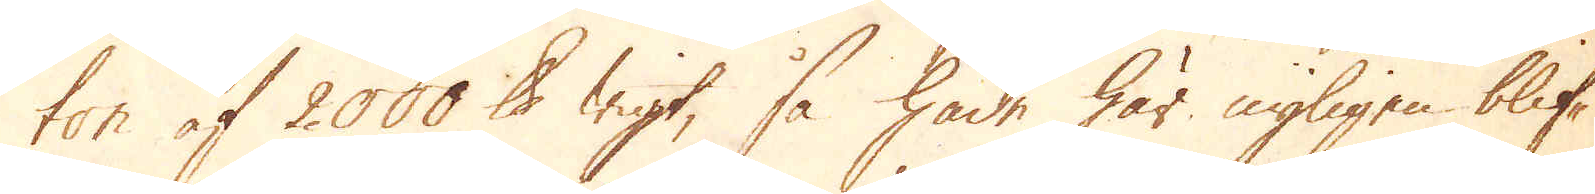ton af 2000. skålpunds wigt, så hade här nyligen blif-
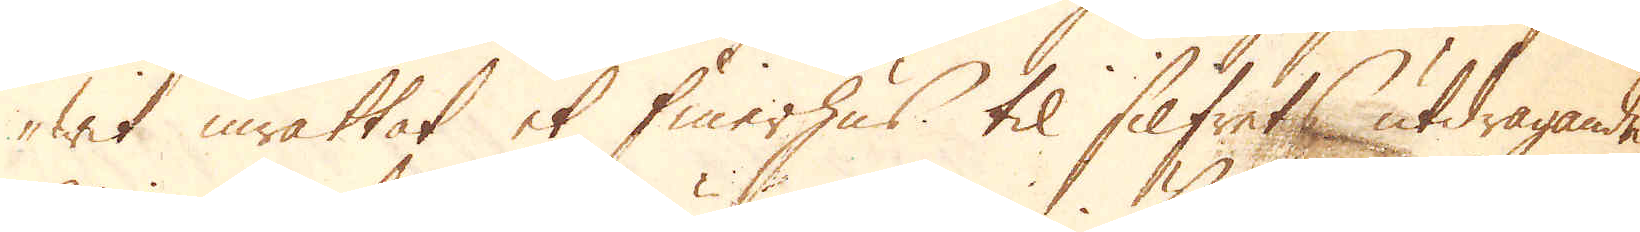wit inrättat et finerhus til Silfrets utdragande,
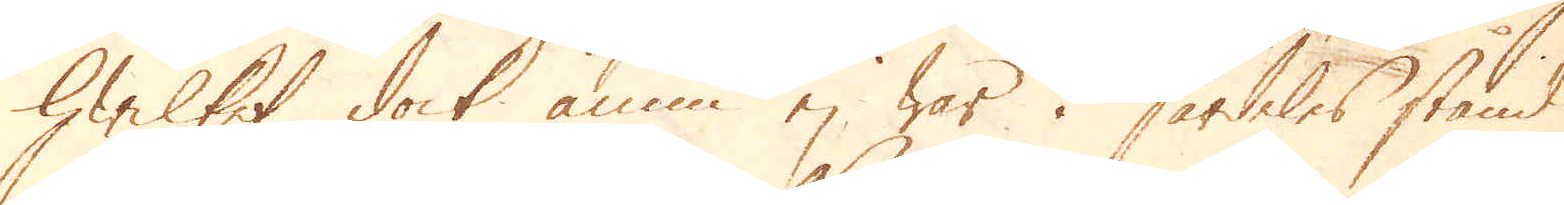hwilket dock ännu ej war i serdeles stånd
